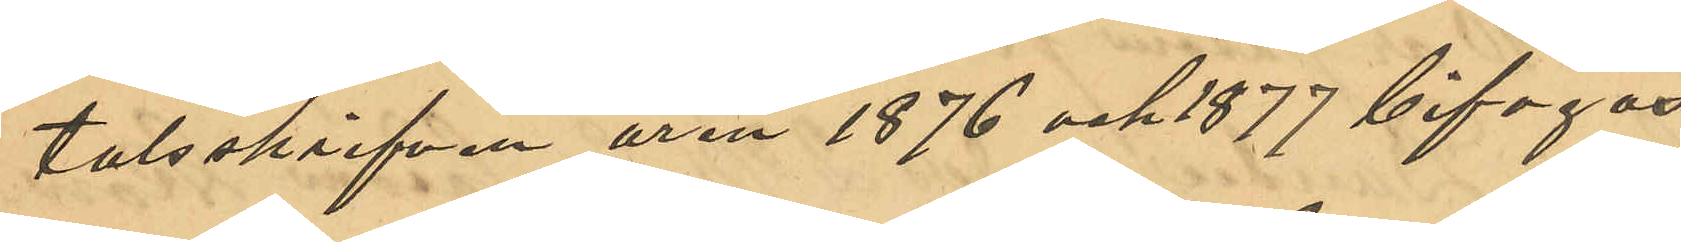talsskrifven åren 1876 och 1877 bifogas.
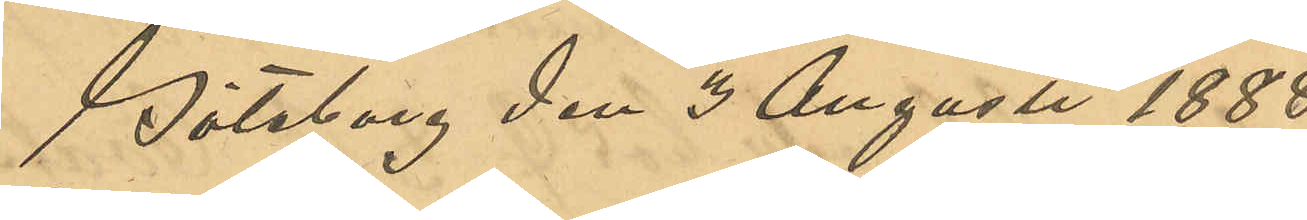Göteborg den 3 Augusti 1888.
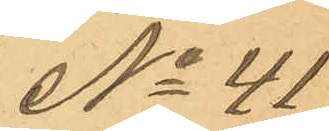No 41
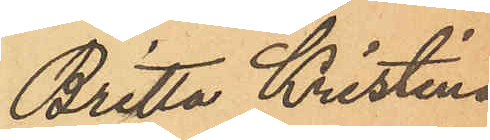Britta Kristina
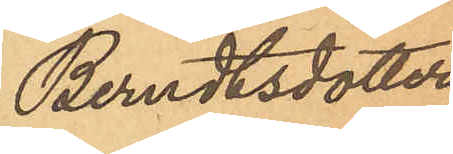Berndtsdotter.
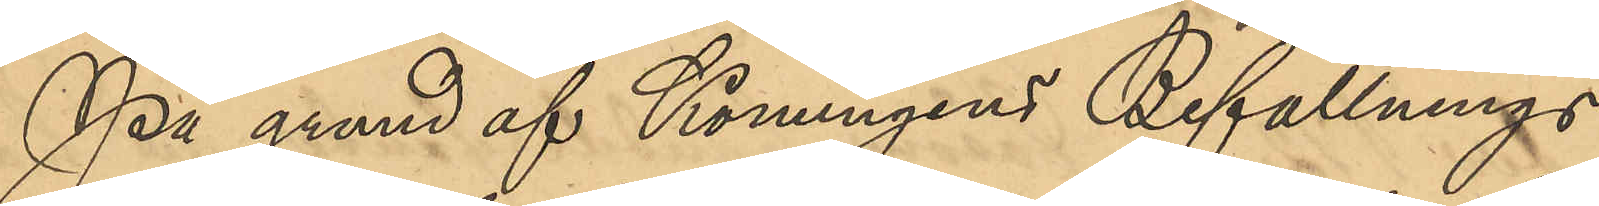På grund af Konungens Befallnings¬
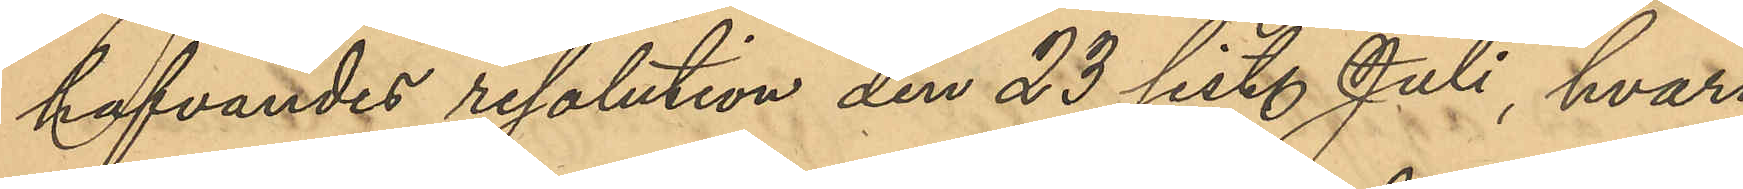hafvandes resolution den 23 sist. Juli, hvari¬
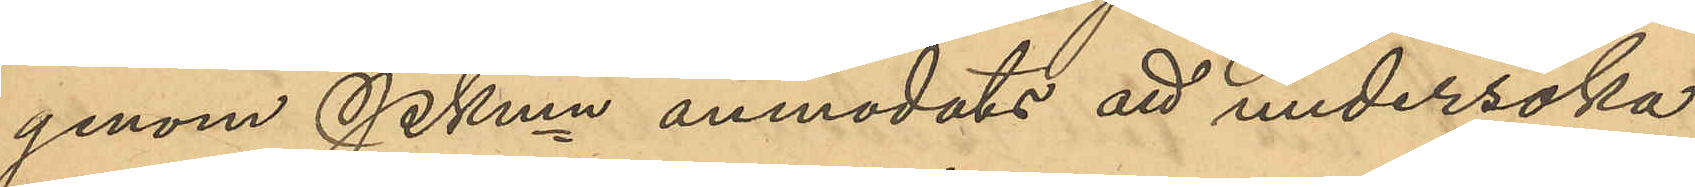genom PKmn anmodats att undersöka
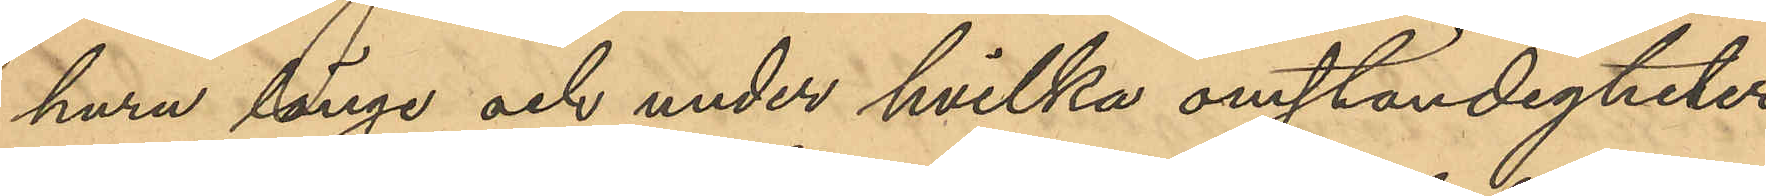huru länge och under hvilka omständigheter
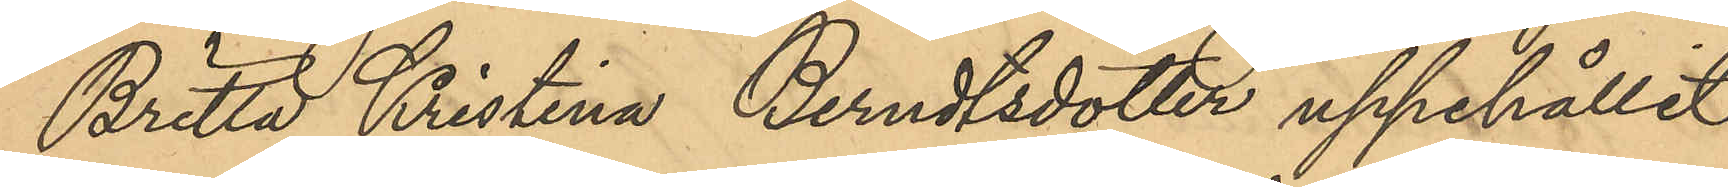Britta Kristina Berndtsdotter uppehållit
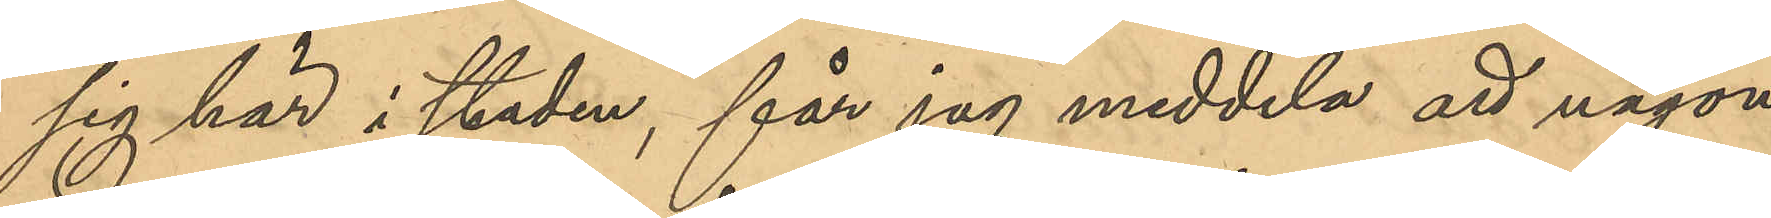sig här i staden, får jag meddela att
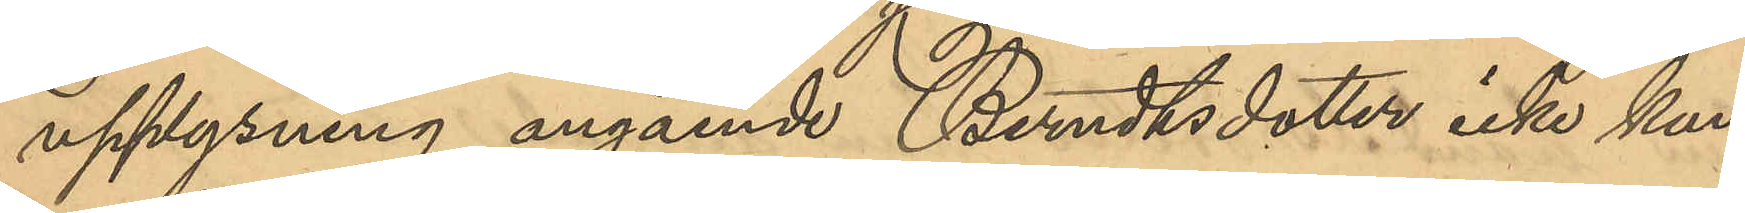upplysning angående Berndtsdotter icke kun¬
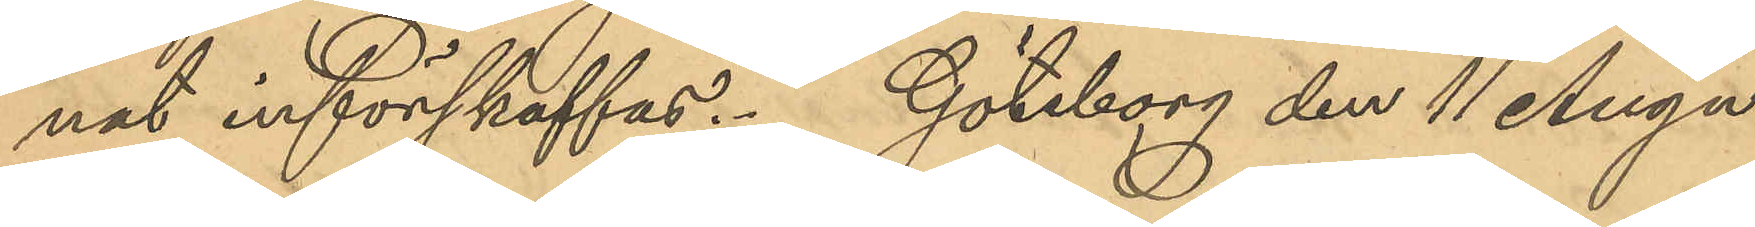nat införskaffas. Göteborg den 11 Augu¬
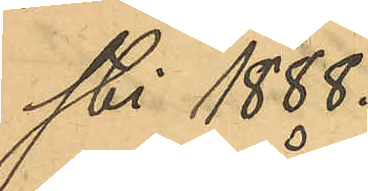sti 1888.
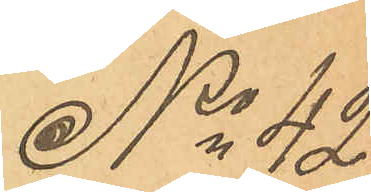No 42
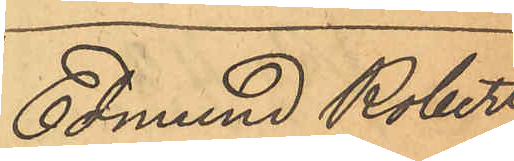Edmund Robert
